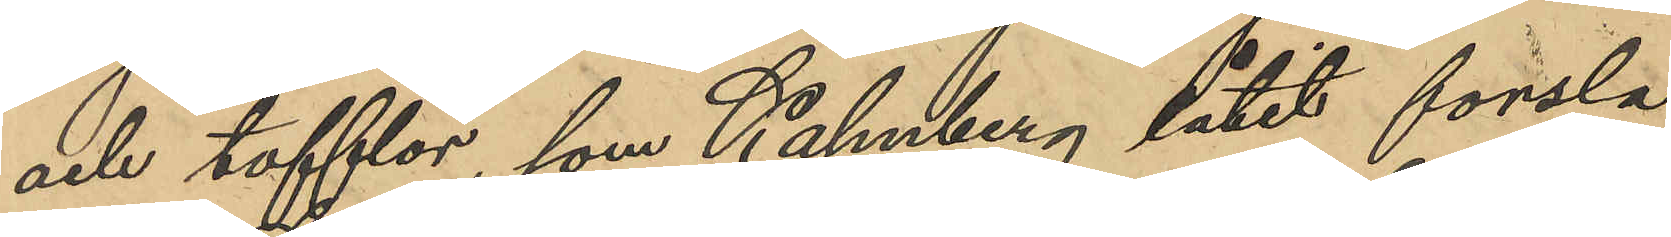och tofflor, som Kahnberg låtit forsla
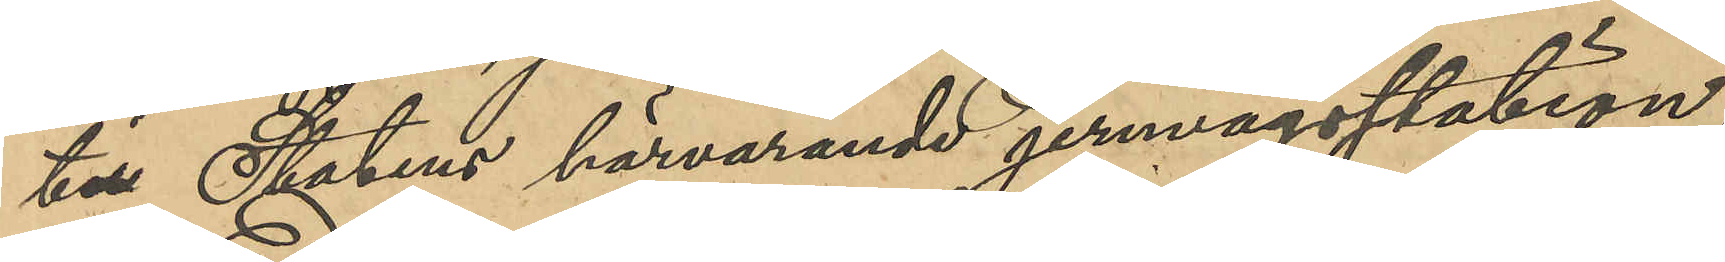till Statens härvarande jernvägsstation;
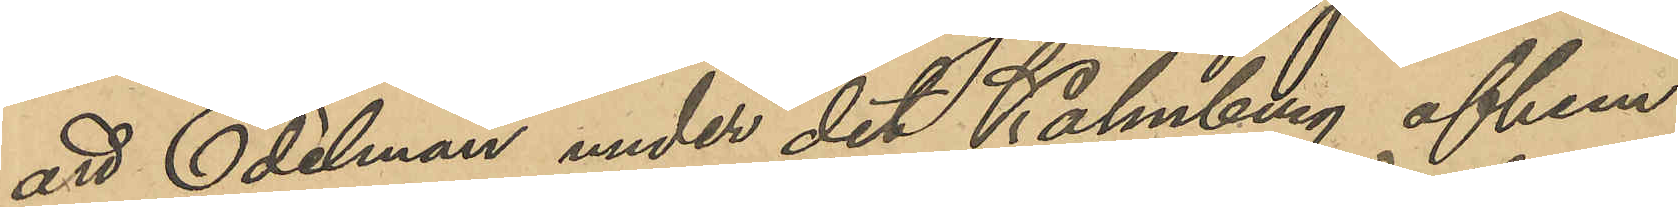att Edelman under det Kahnberg afhem¬
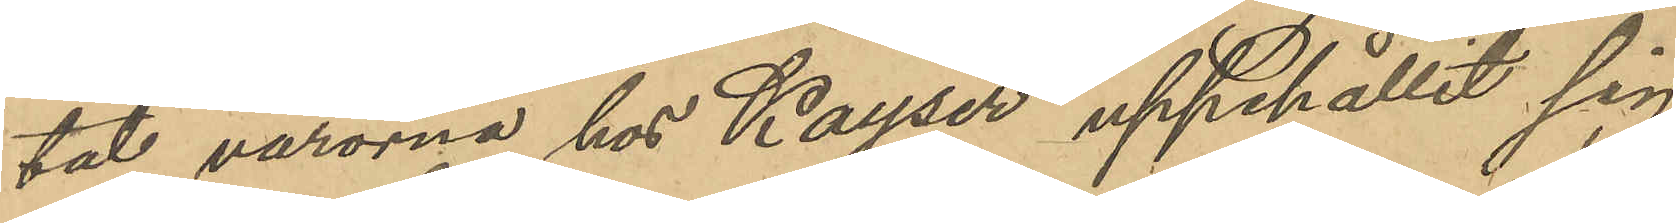tat varorna hos Kayser uppehållit sig
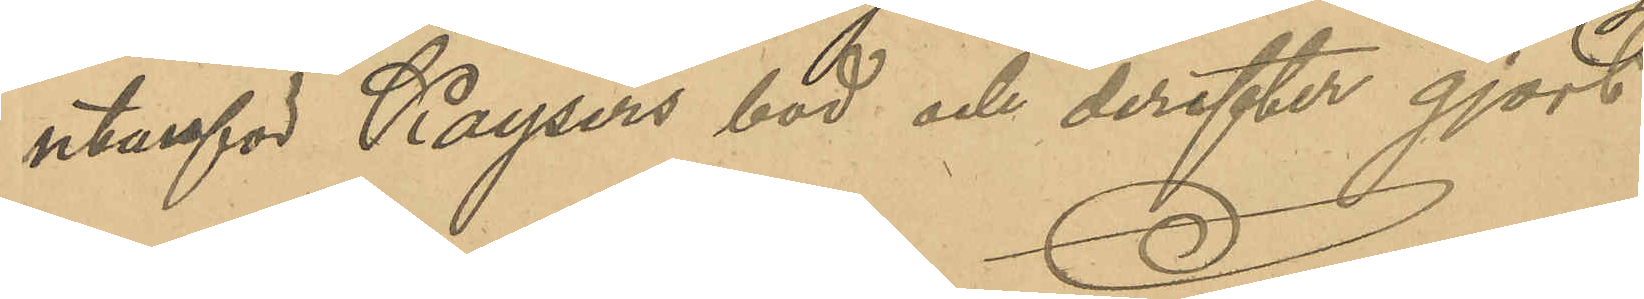utanför Kaysers bod och derefter gjort
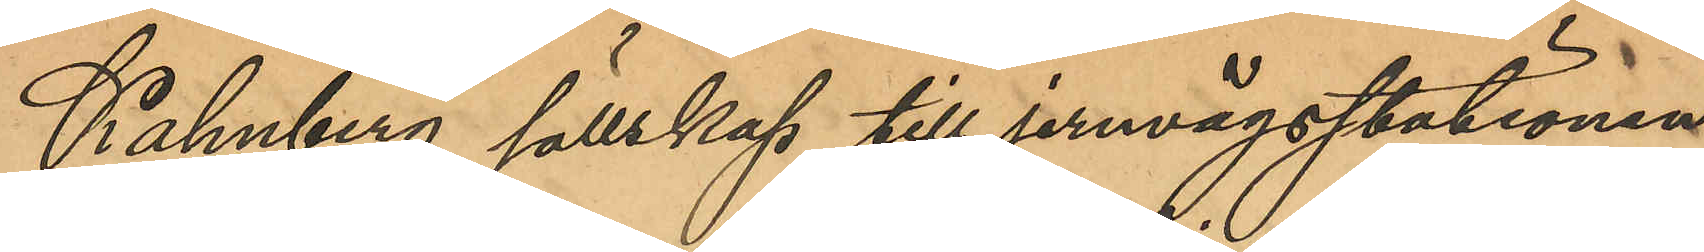Kahnberg sällskap till jernvägsstationen;
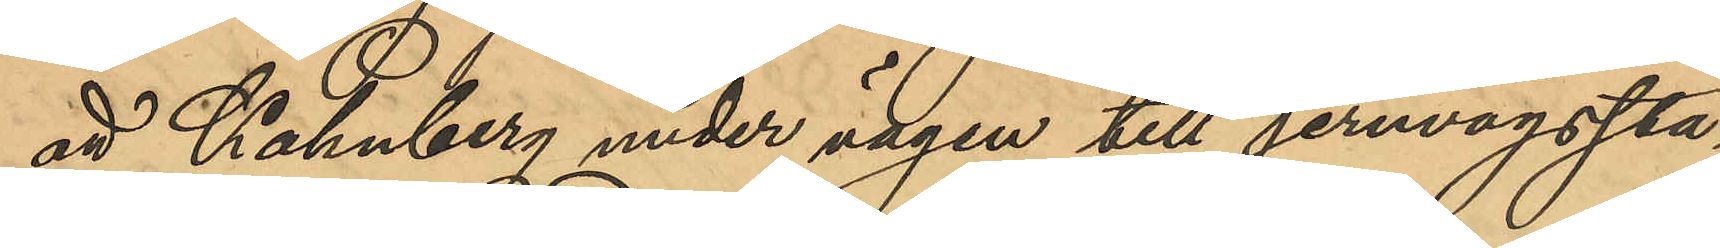att Kahnberg under vägen till jernvägssta¬
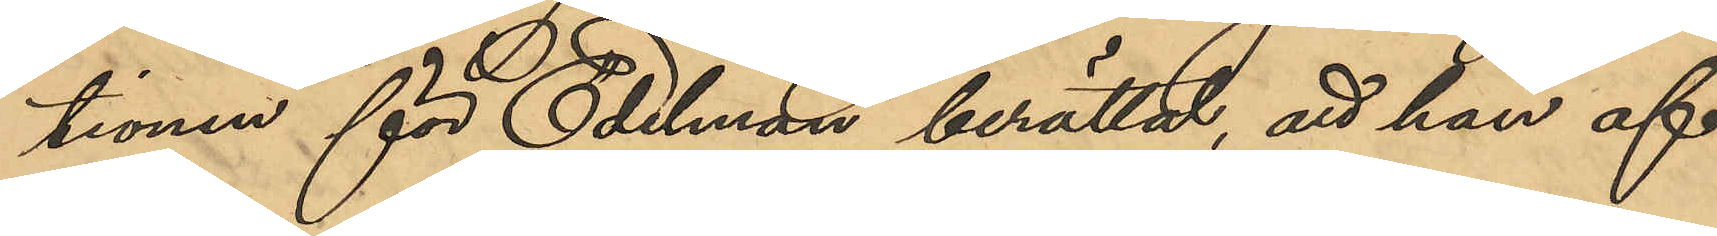tionen för Edelman berättat, att han af
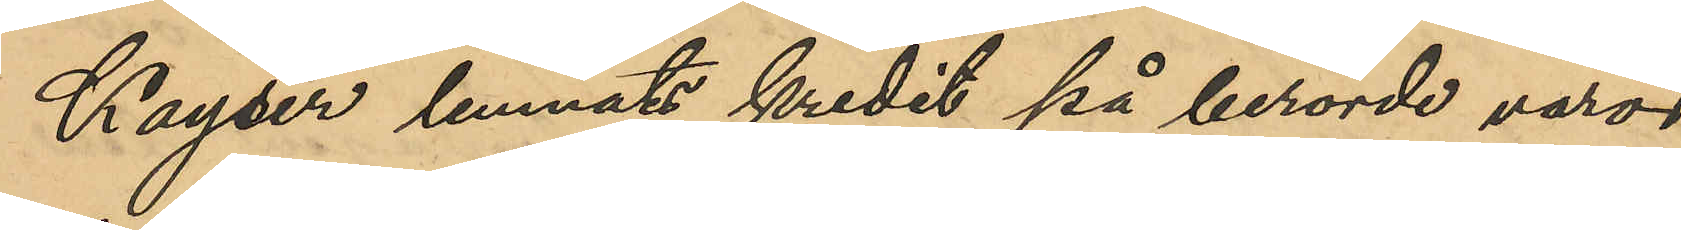Kayser lemnat kredit på berörde varor
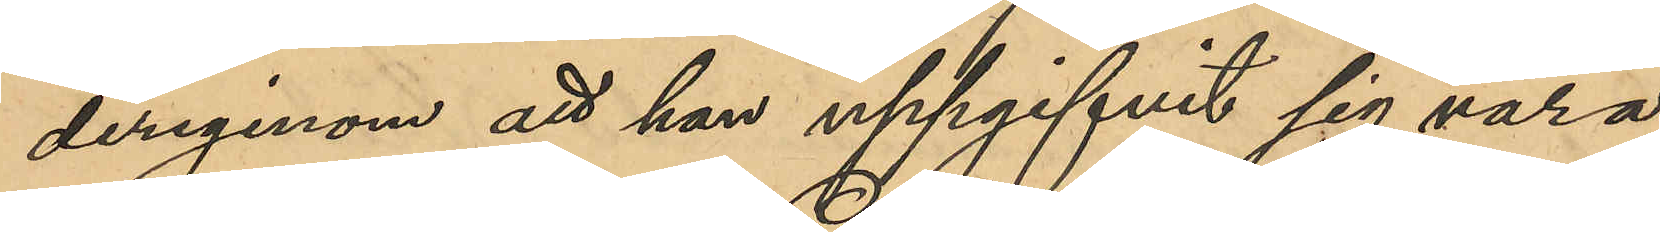derigenom att han uppgifvit sig vara
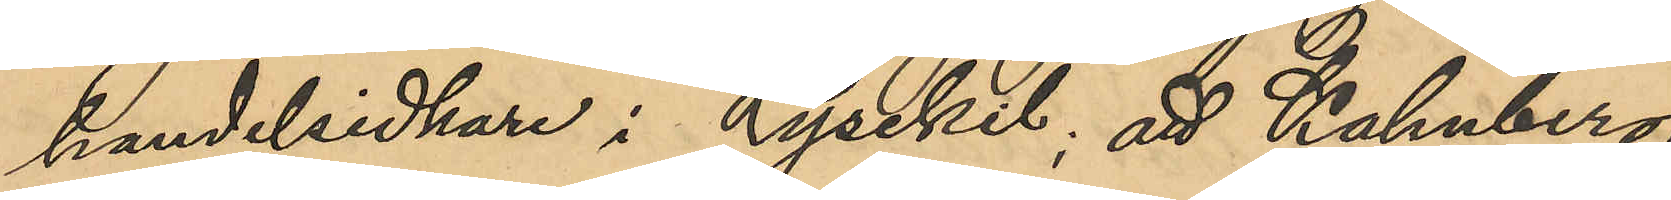handelsidkare i Lysekil; att Kahnberg
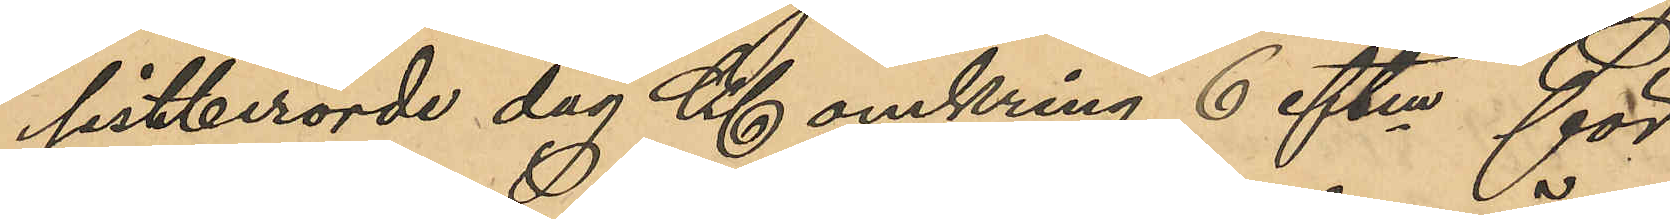sistberörde dag Kl omkring 6 eftm för
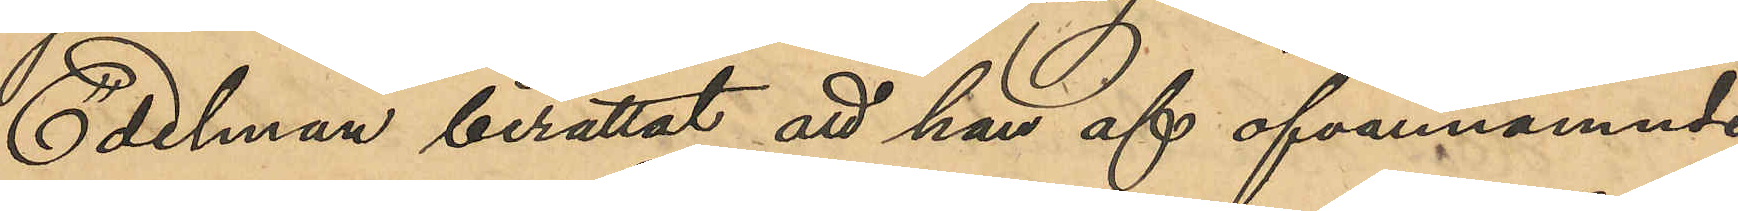Edelman berättat att han af ofvannämnde
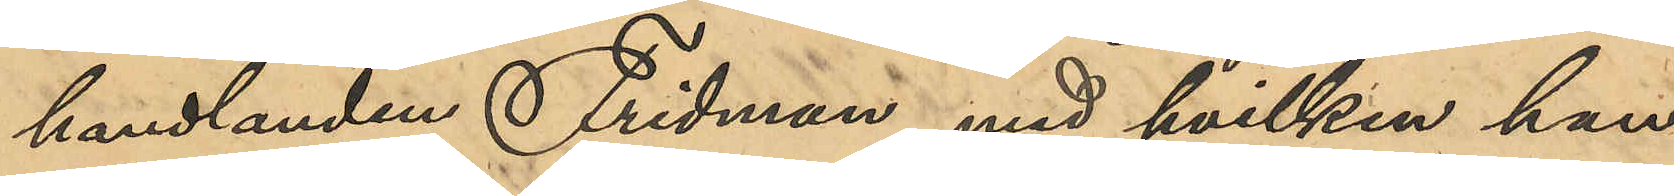handlanden Fridman, med hvilken han
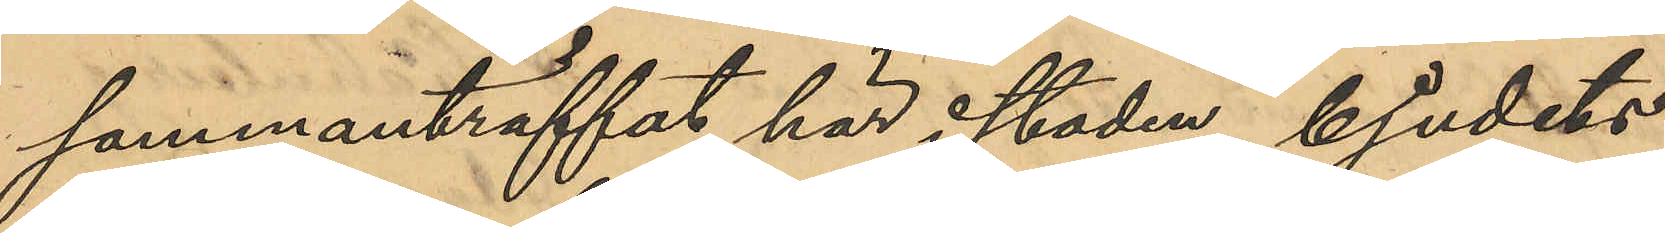sammanträffat här i staden, bjudits
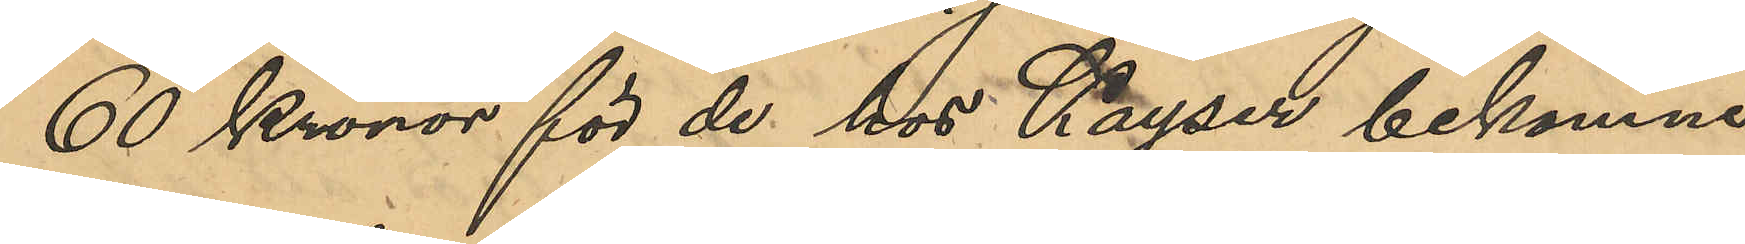60 Kronor för de hos Kayser bekomne
